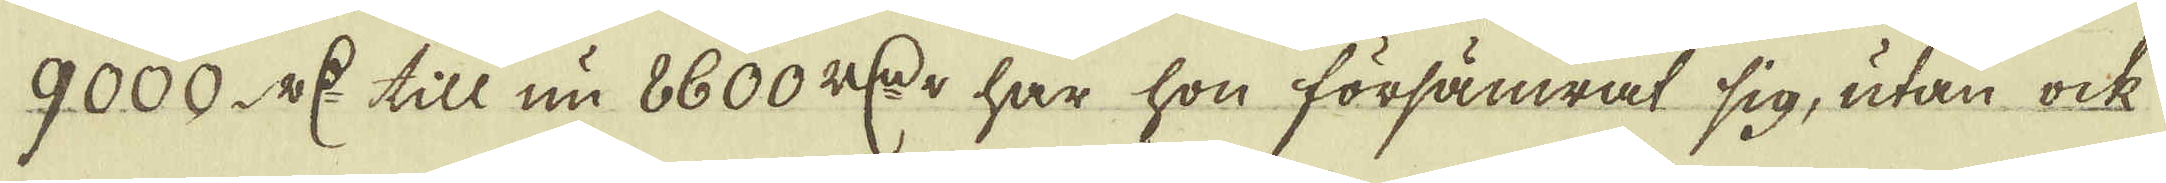9000. r:Dr till nu 8600 r:Dr har hon försämrat sig, utan ock
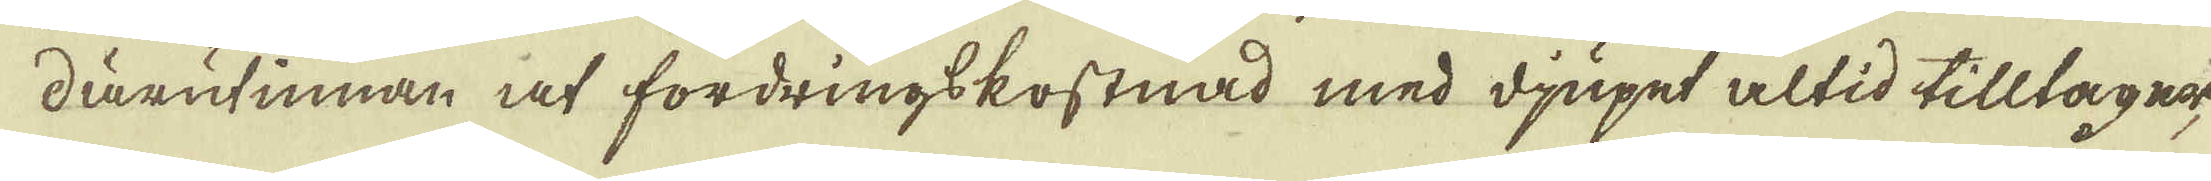därutinnan at fordringskostnad med djupet altid tilltage
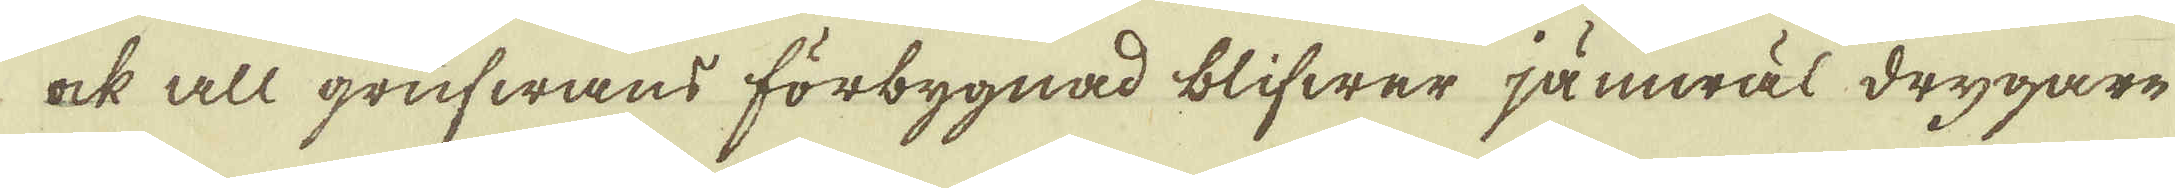ock all grufwans förbygnad blifwer jämwäl drygare
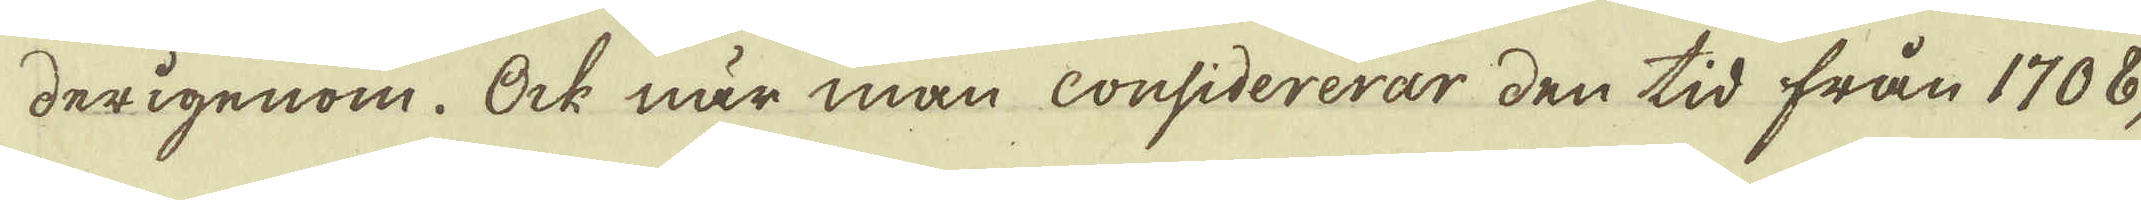derigenom. Ock när man considererar den tid från 1708,
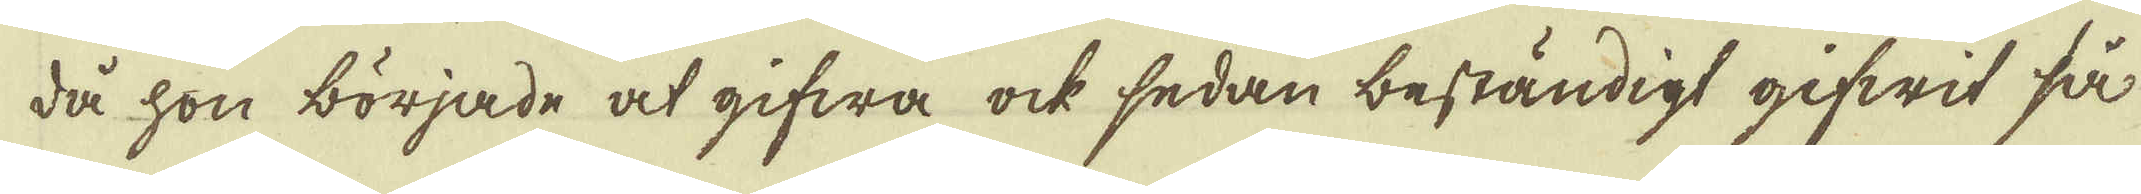då hon började at gifwa ock sedan beständigt gifwit så
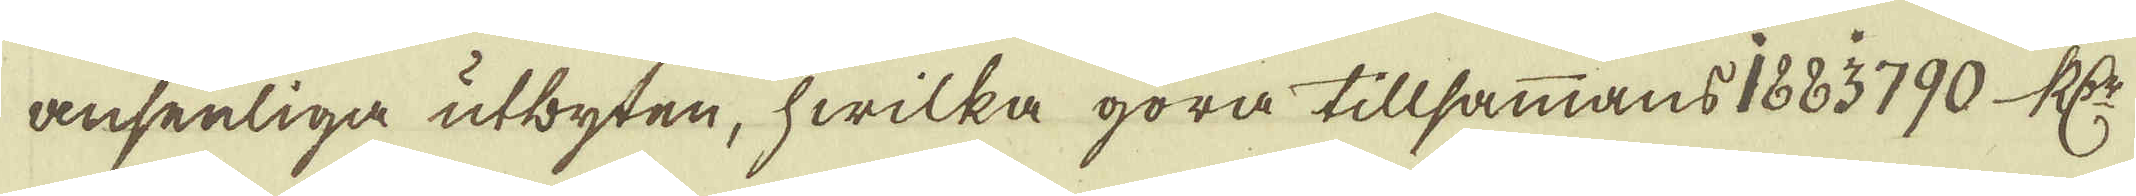ansenliga utbyten, hwilka göra tillsammans 1883790 R:Dr
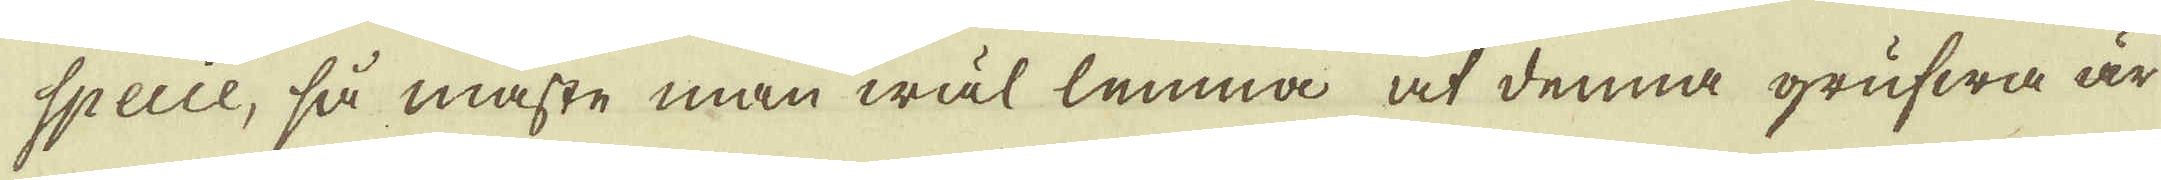specie, så måste man wäl lemna at denna grufwa är
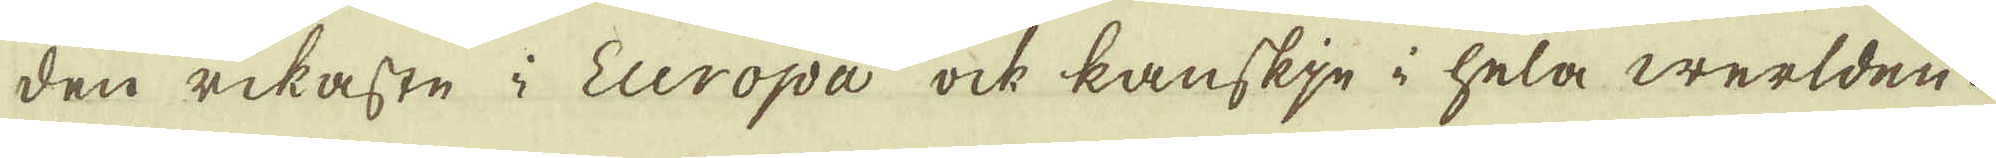den rikaste i Europa ock kanskje i hela werlden.
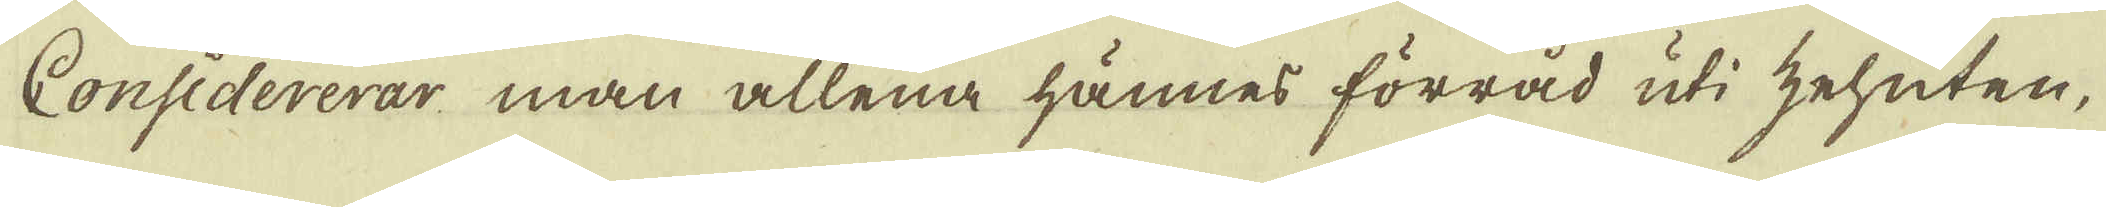Considererar man allena hännes förråd uti zehnten,
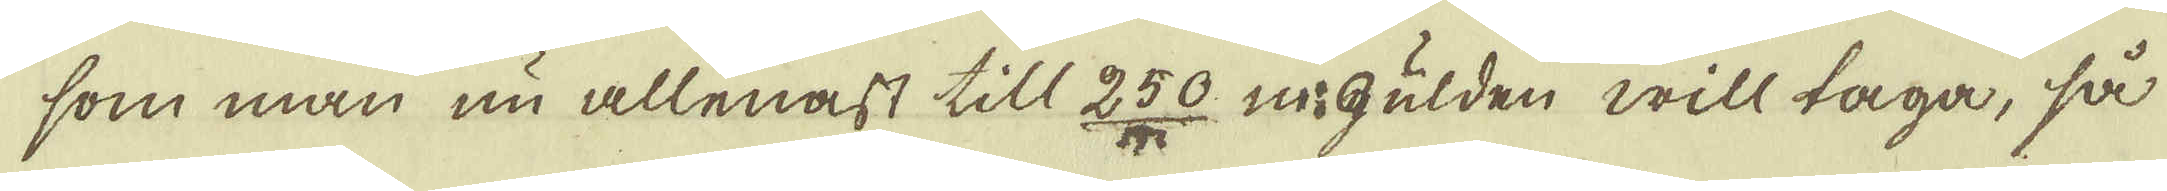som man nu allenast till 250 m:Gulden will taga, så
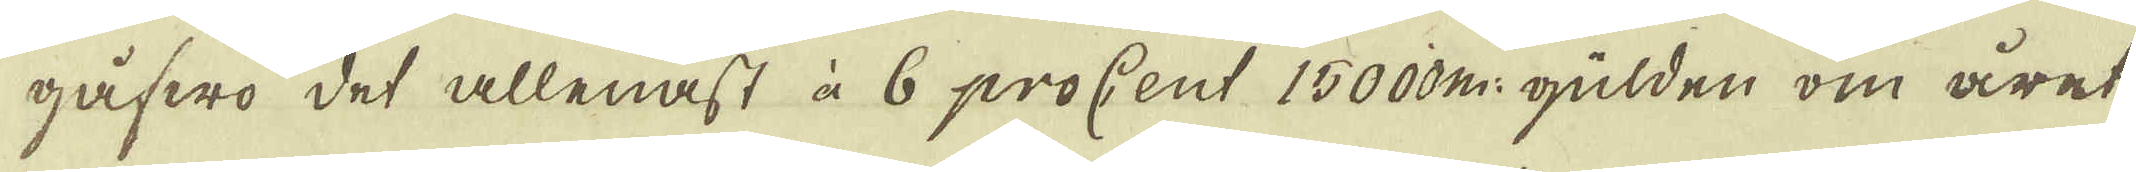gåfwo det allenast à 6 proCent 15000 m: gülden om året
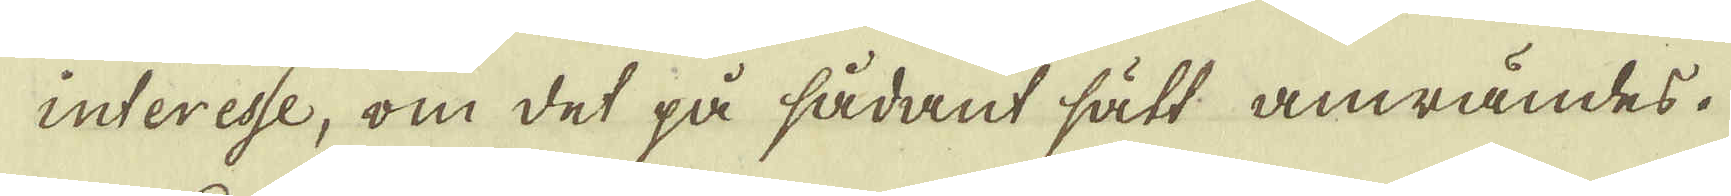interesse, om det på sådant sätt anwändes.
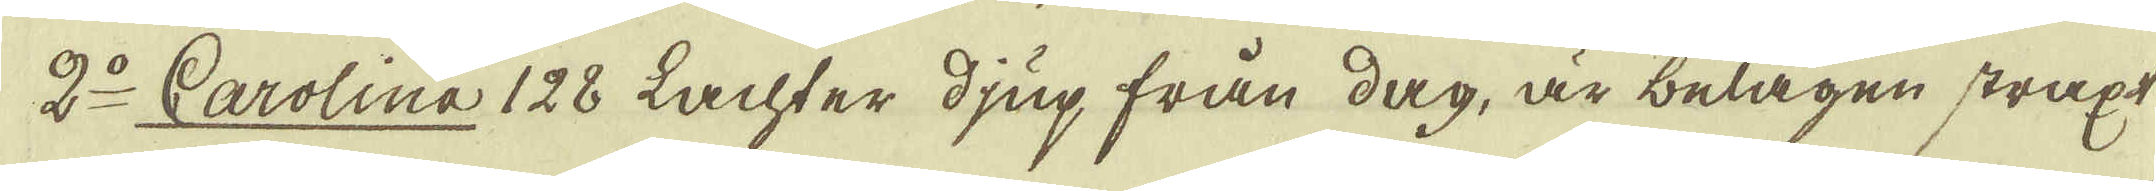2:o Carolina 128 Lachter djup från dag, är belägen straxt
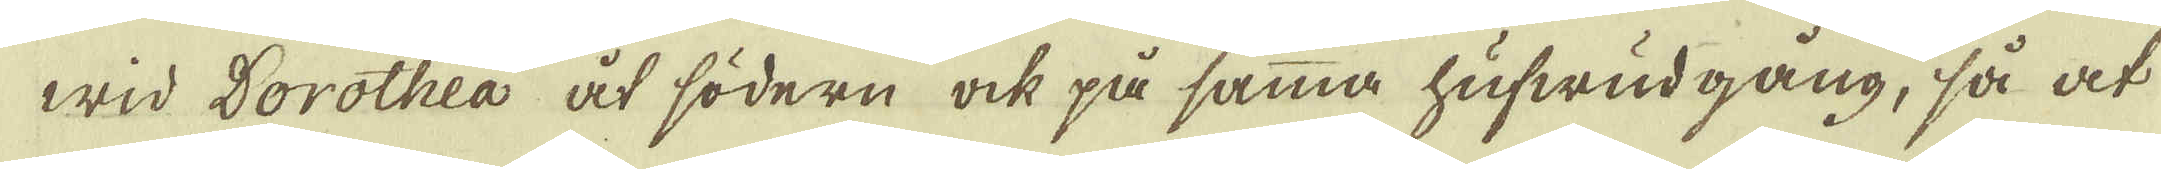wid Dorothea åt södern ock på samma hufwudgång, så at
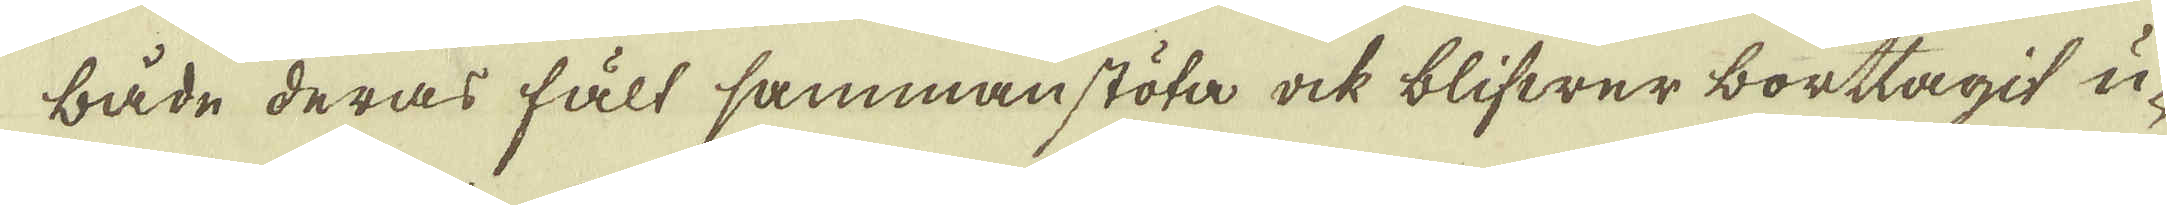både deras fält sammanstöta ock blifwer borttagit u-
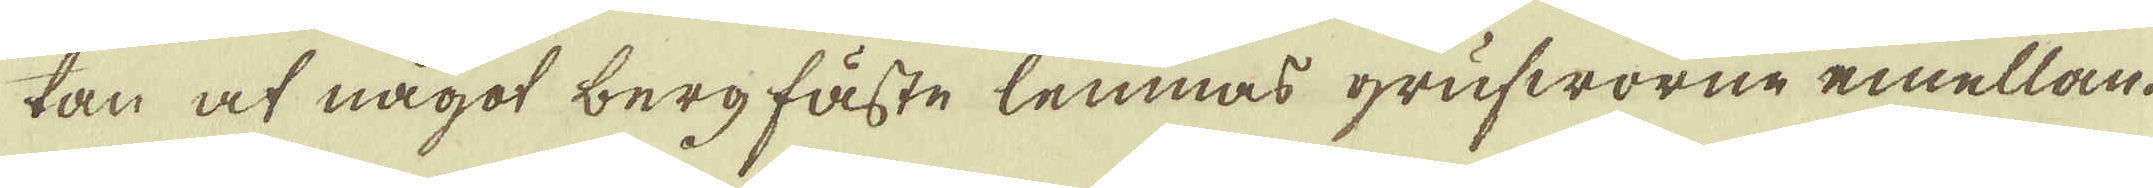tan at något bergfäste lemnas grufworne emellan.
